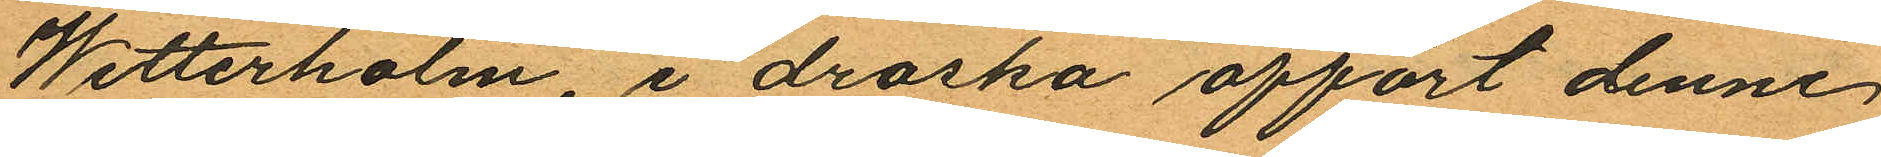Wetterholm, i droska affört denne
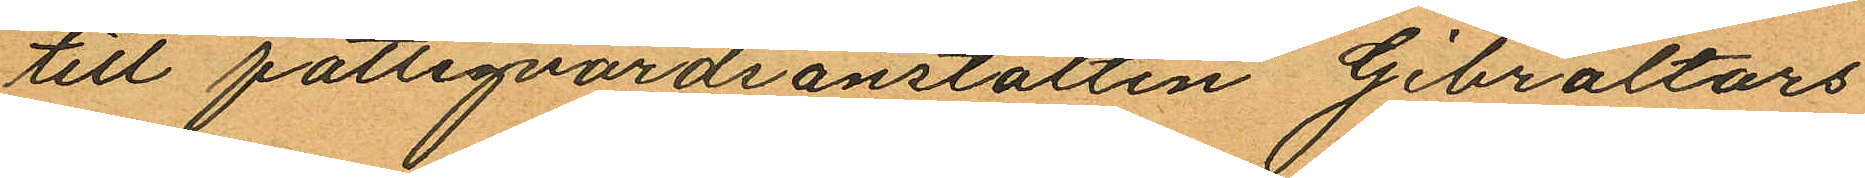till fattigvårdsanstalten Gibraltars
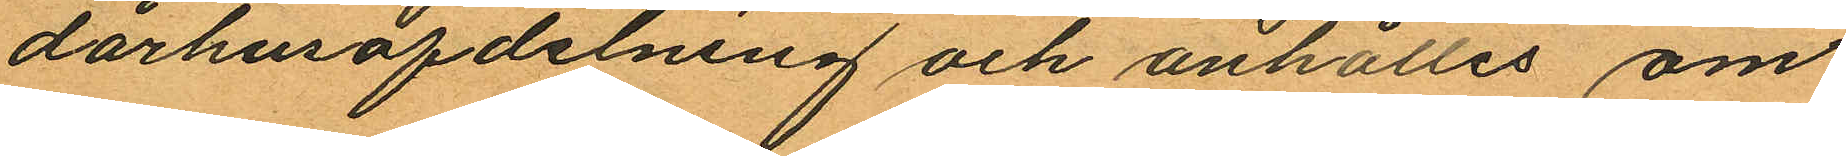dårhusafdelning och anhålles om
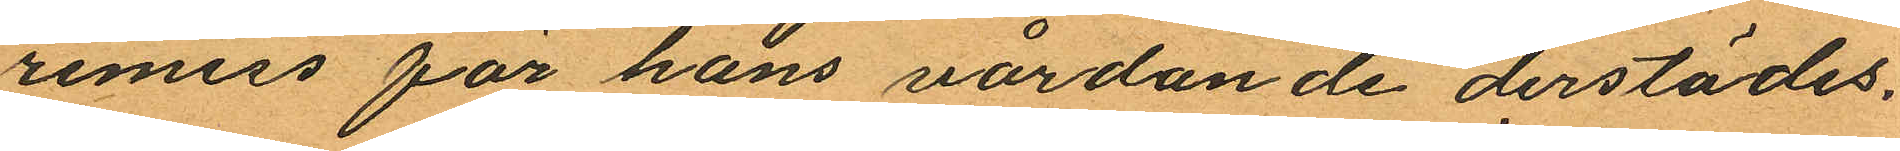remiss för hans vårdande derstädes.
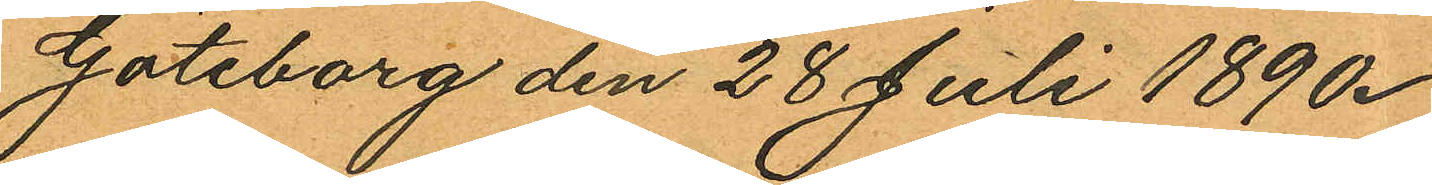Göteborg den 28 Juli 1890.
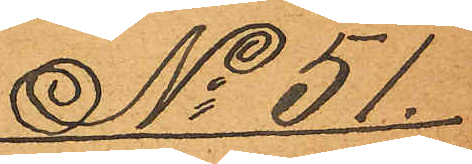No 51.
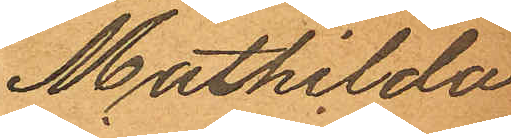Mathilda
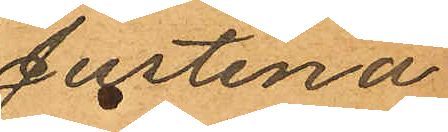Justina
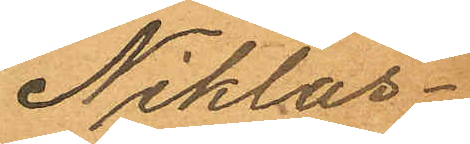Niklas¬
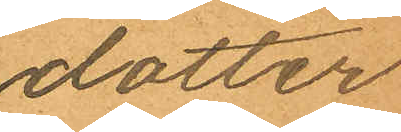dotter
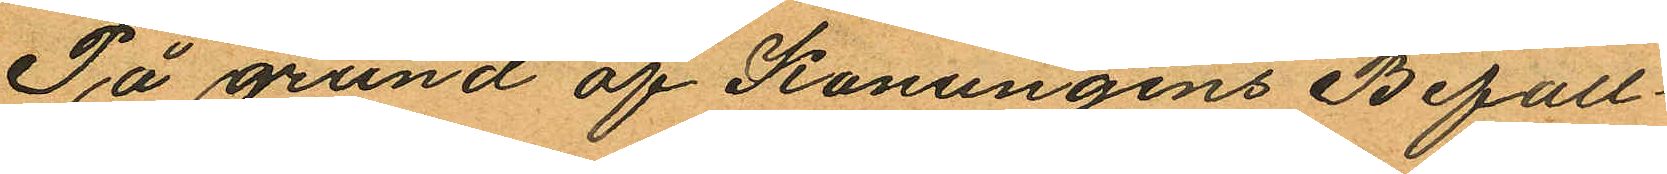På grund af Konungens Befall¬
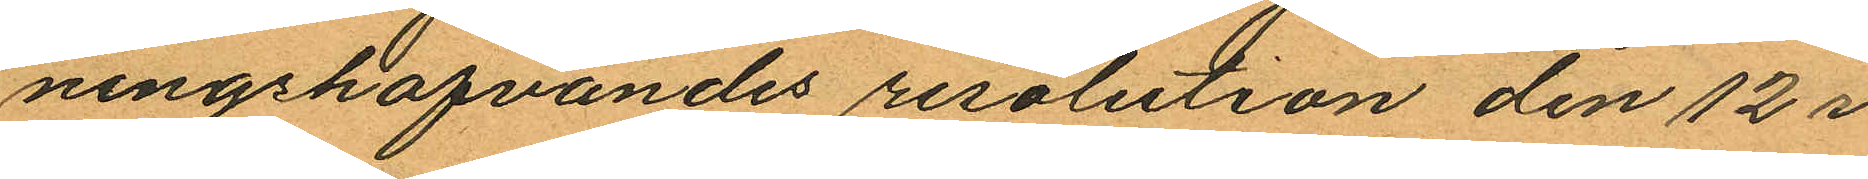ningshafvandes resolution den 12 i
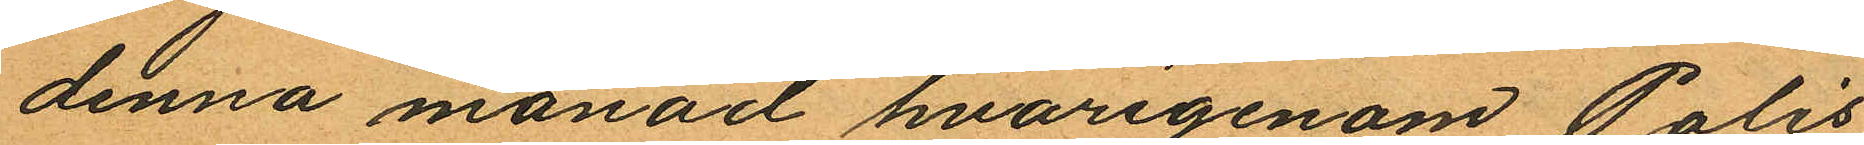denna månad hvarigenom Polis¬
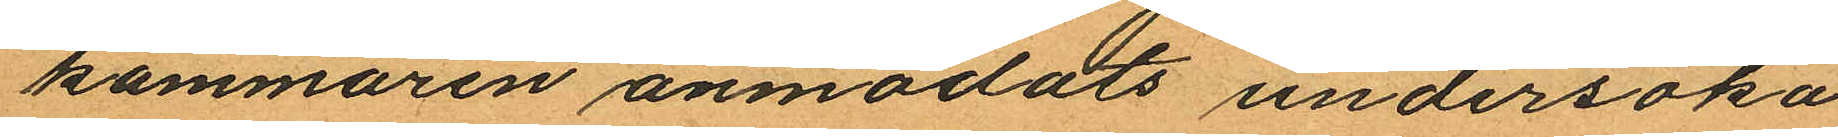kammaren anmodats undersöka
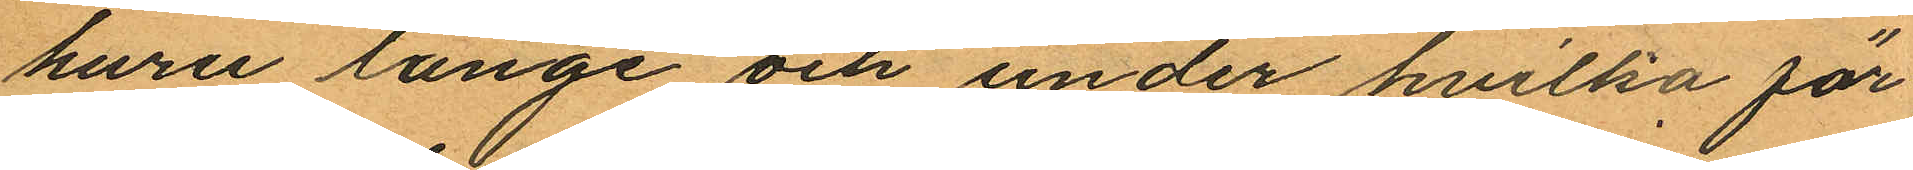huru länge och under hvilka för¬
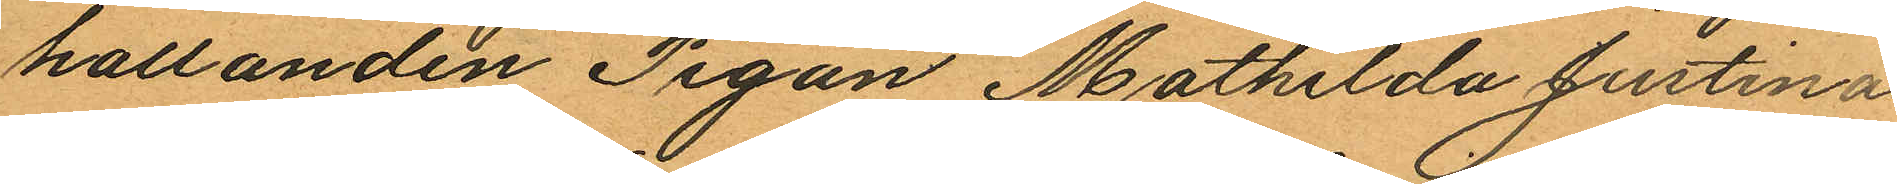hallanden Pigan Mathilda Justina
